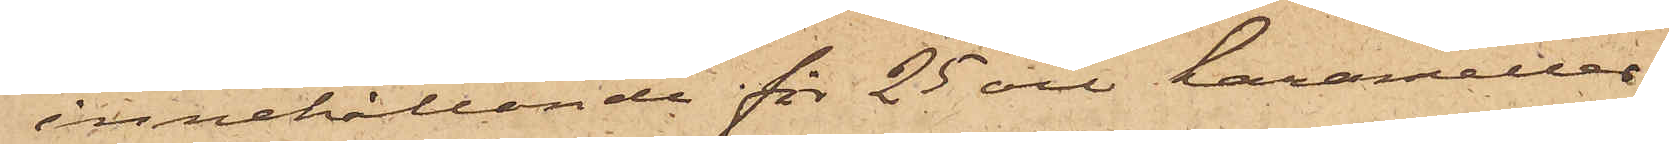innehållande för 25 öre karameller.
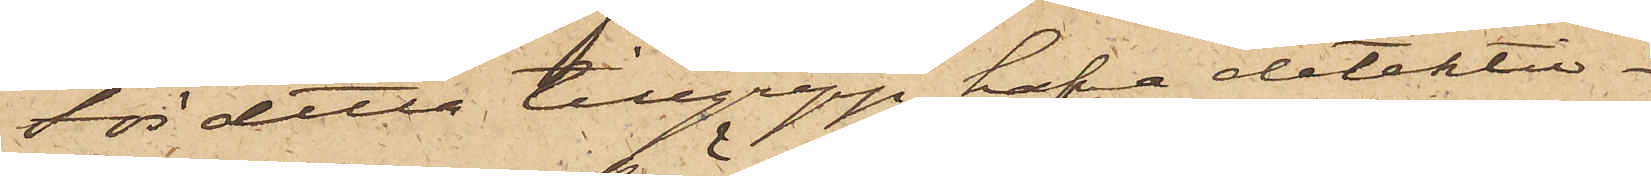För detta tillgrepp hafva detektiv¬
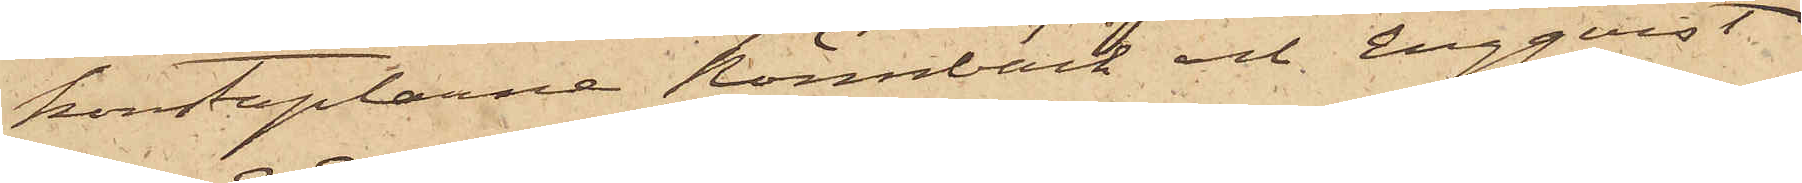konstaplarne Rönnbäck och Engqvist
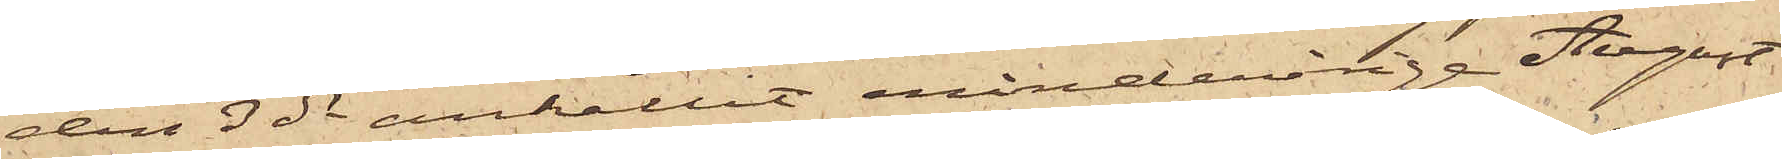den 3 ds anhållit minderårige August
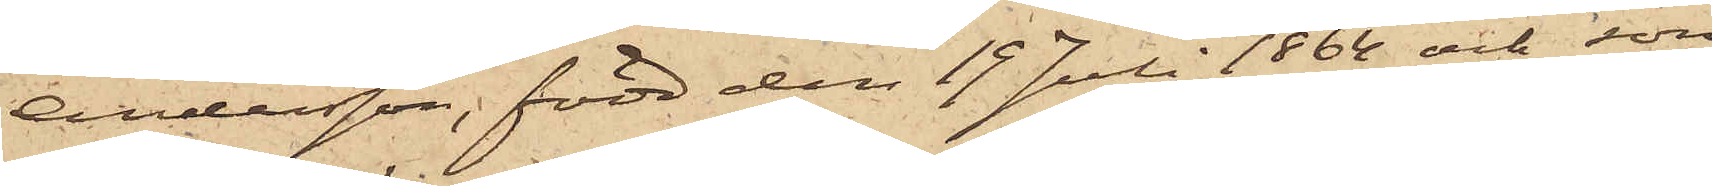Andersson, född den 19 Juli 1864 och son
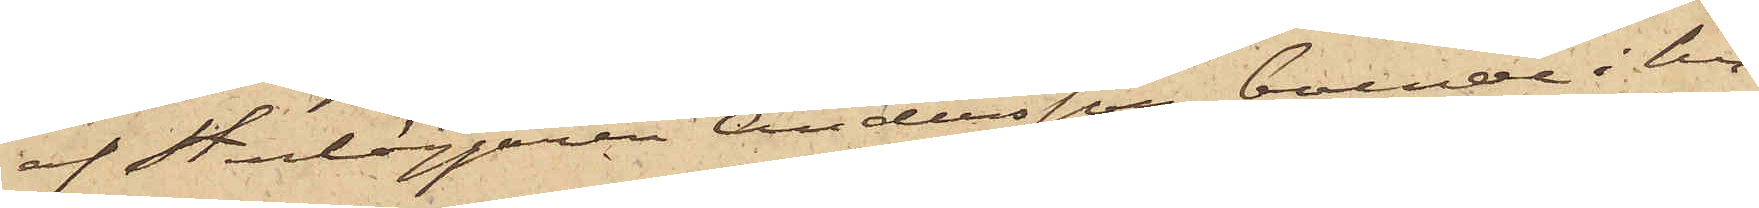af Stenläggaren Andersson, boende i hu¬
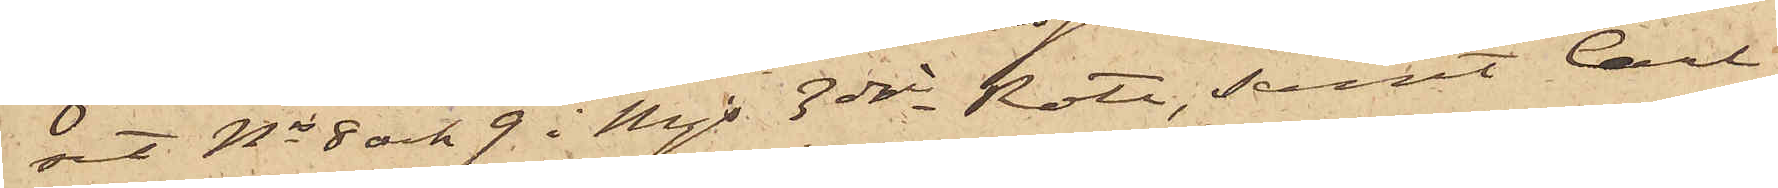set Nris 8 och 9 i Mjs 3dje Rote, samt Carl
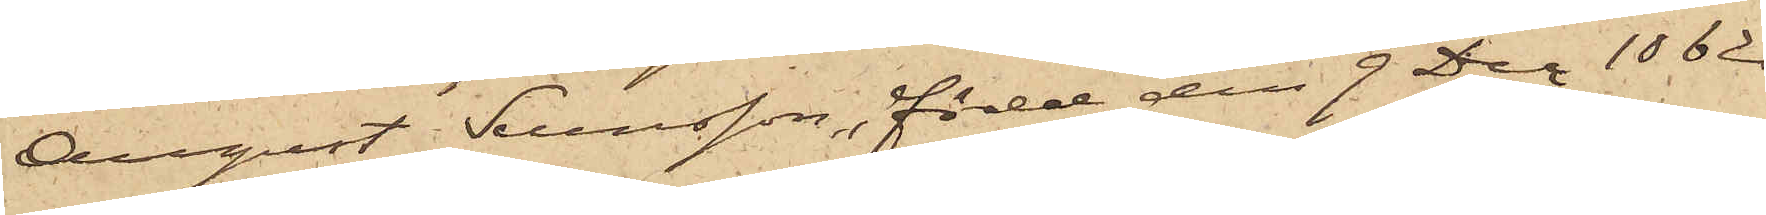August Svensson, född den 9 Dec 1862
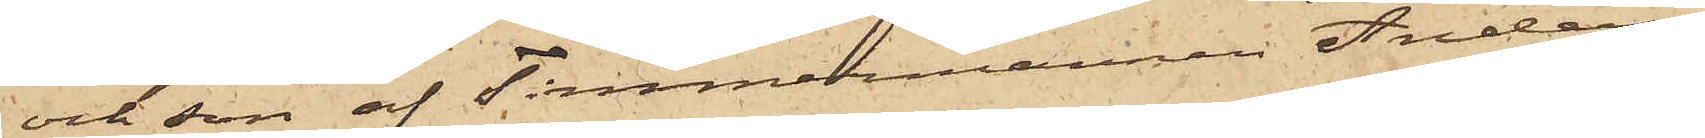och son af Timmermannen Anders
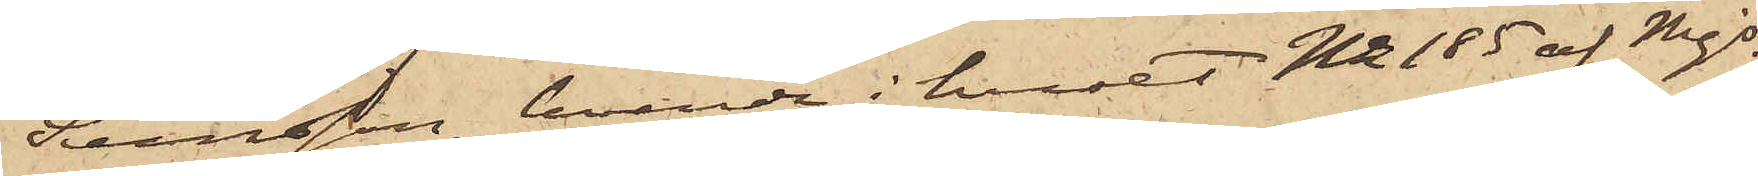Svensson, boende i huset No 185 af Mjs
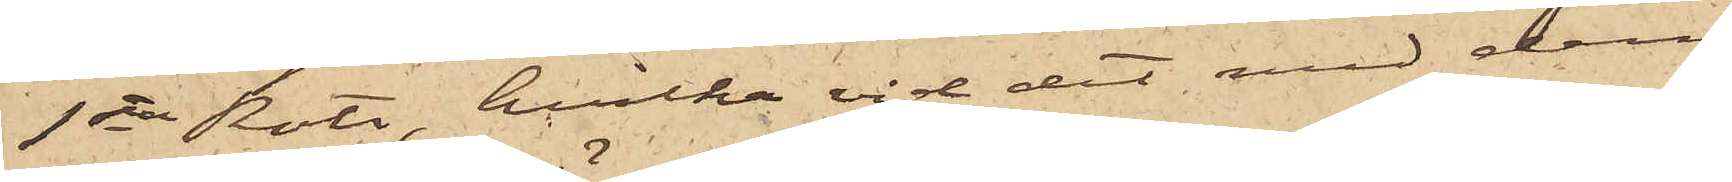1sta Rote, hvilka vid det med dem
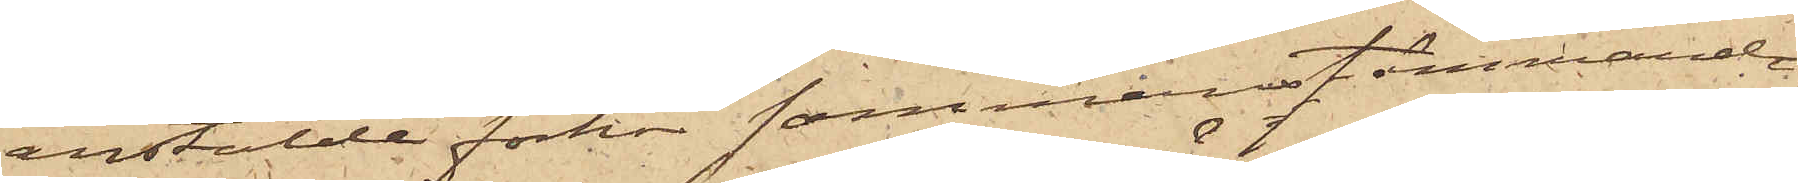anstälde förhör sammanstämmande
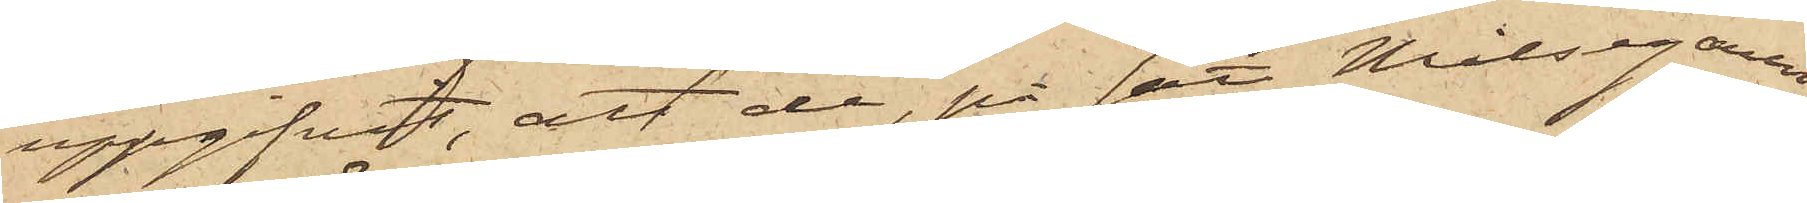uppgifvit, att de, på sätt Målsegaren
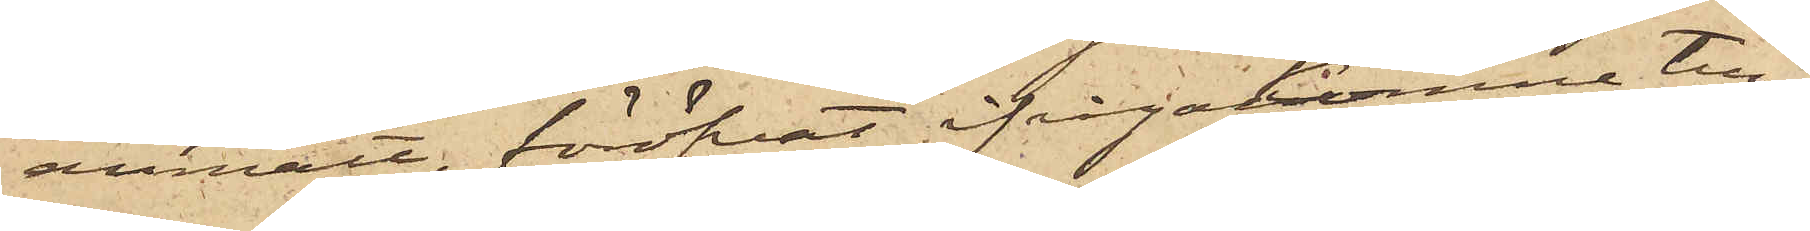anmält, föröfvat ifrågakomne till¬
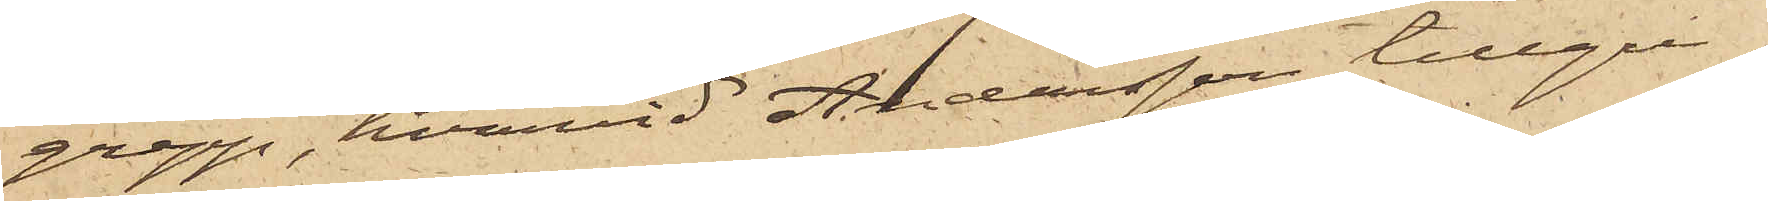grepp, hvarvid Andersson tillgri¬
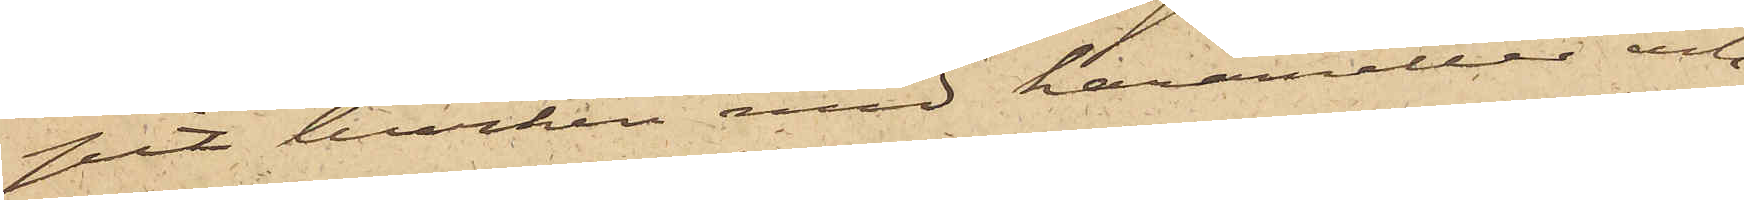pit burken med karameller och
